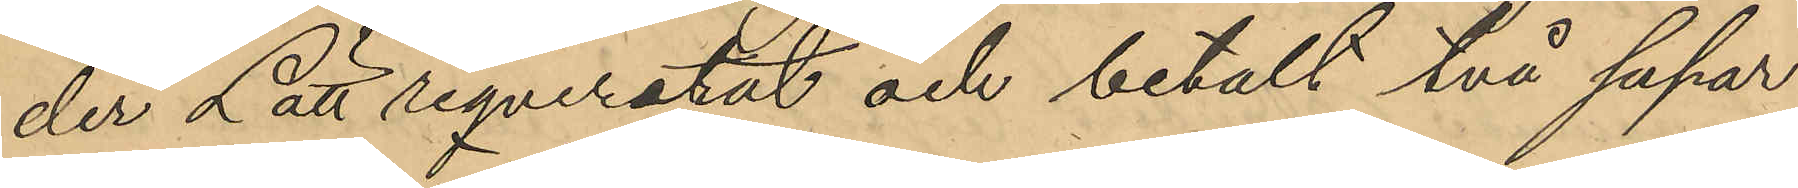der Lätt reqvererat och betalt två supar
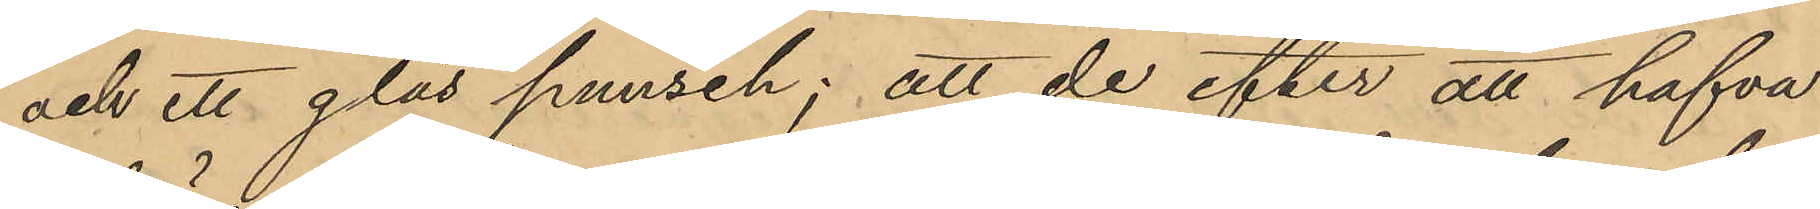och ett glas punsch; att de efter att hafva
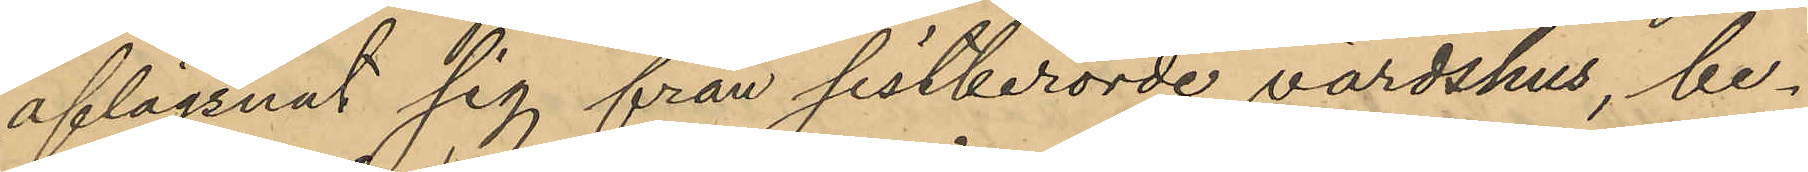aflägsnat sig från sistberörde värdshus, be¬
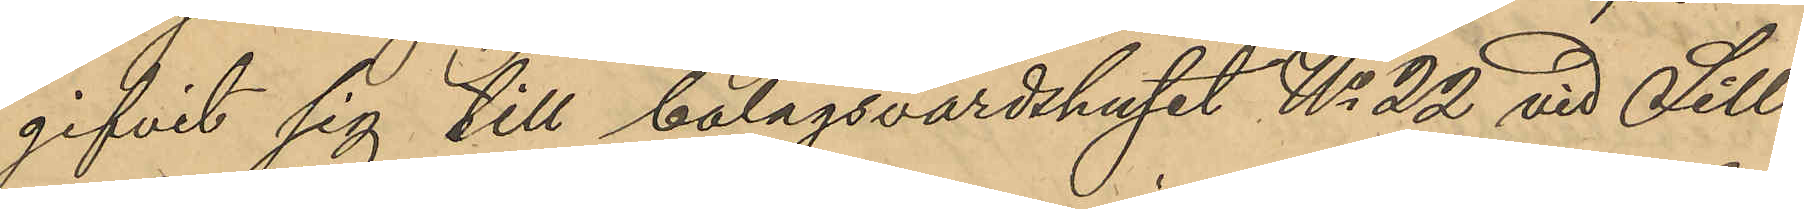gifvit sig till bolagsvärdshuset No 22 vid Sill¬
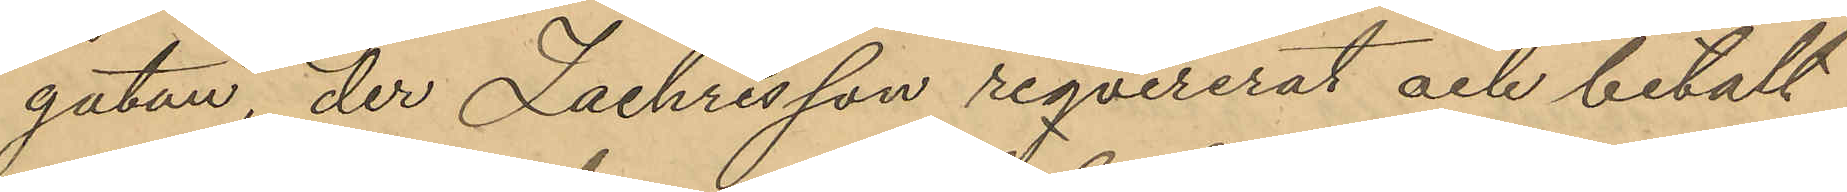gatan, der Zachrisson reqvirerat och betalt
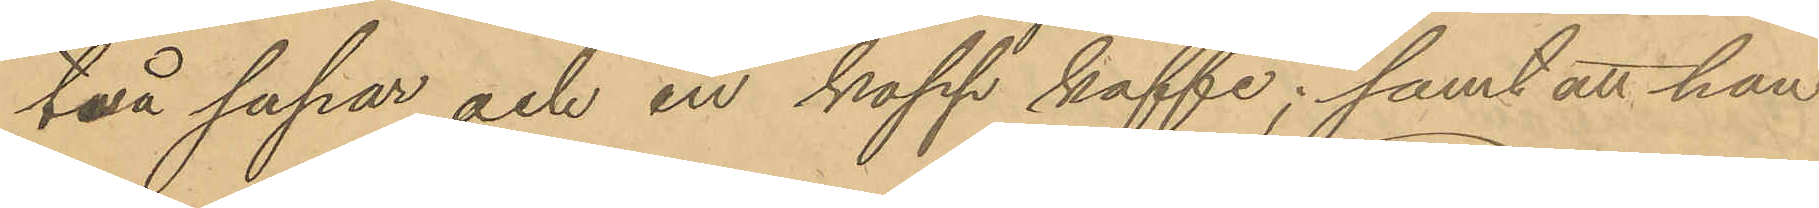två supar och en kopp kaffe; samt att han
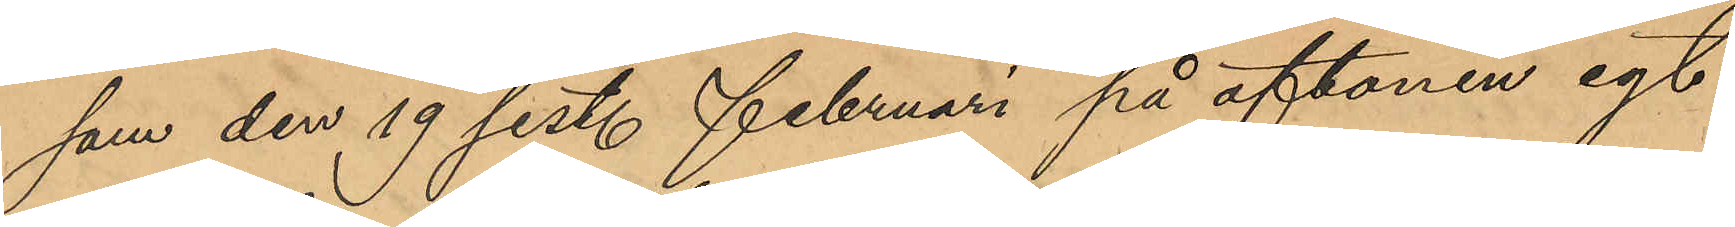som den 19 sist. Februari på aftonen egt
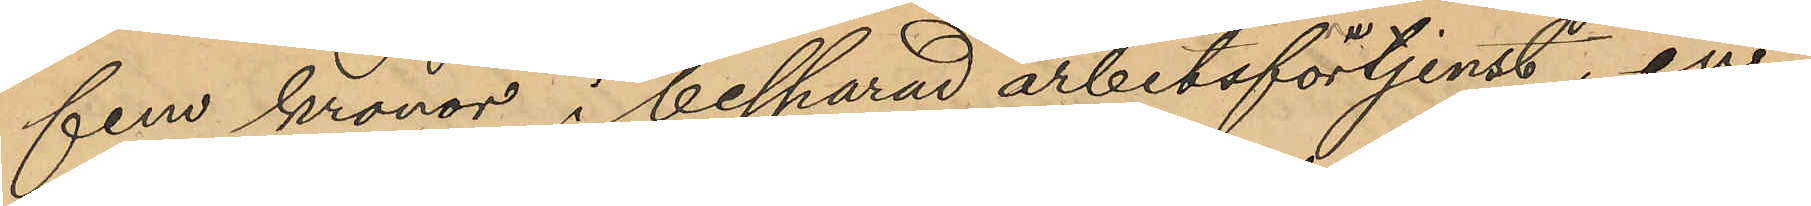fem kronor i besparad arbetsförtjenst, en¬
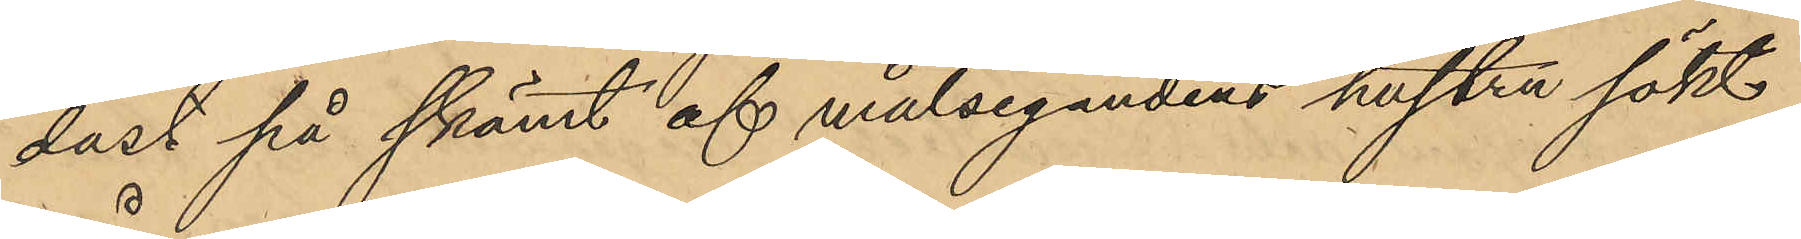dast på skämt af målsegandens hustru sökt
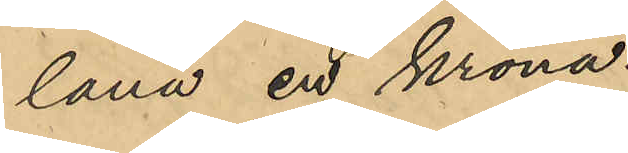låna en krona.
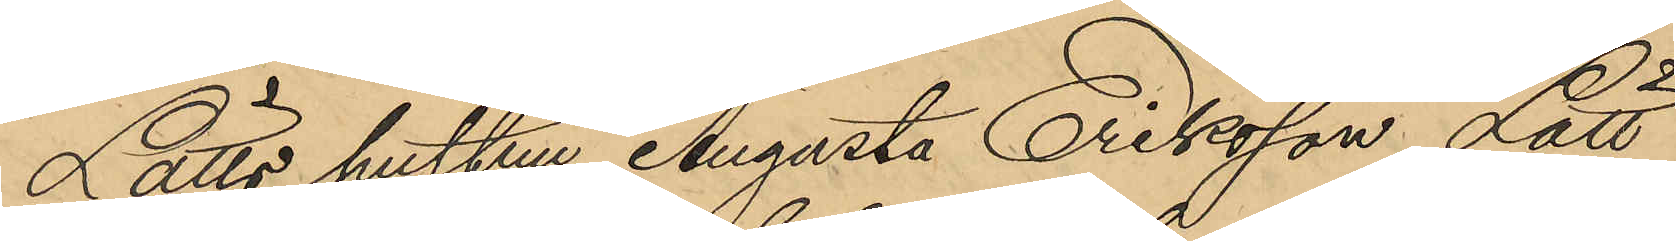Lätts hustru Augusta Eriksson Lätt
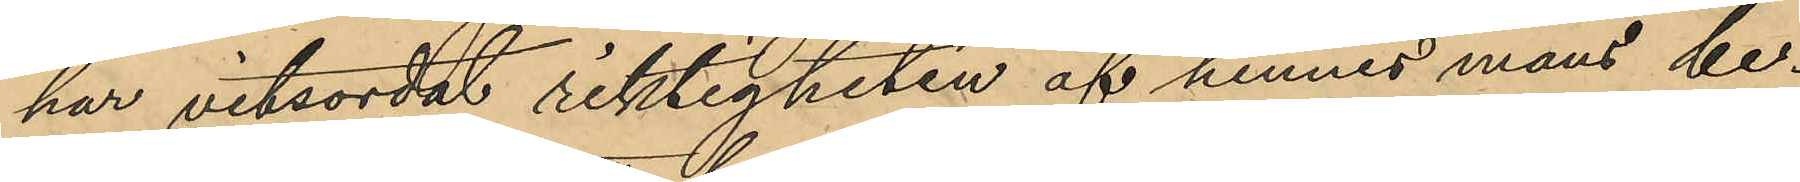har vitsordat riktigheten af hennes mans be¬
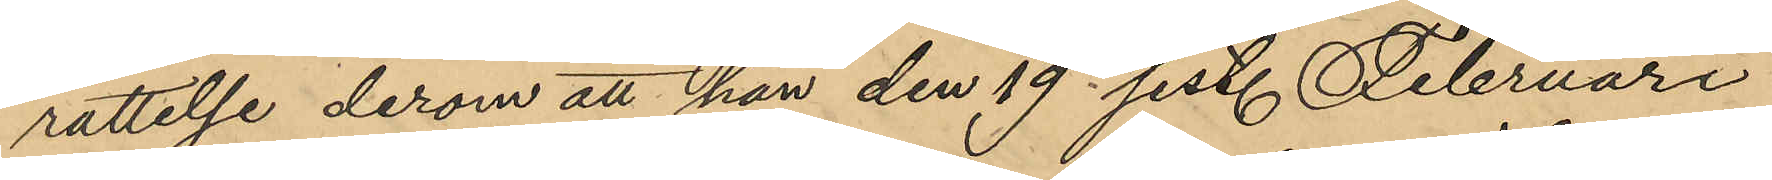rättelse derom att han den 19 sist. Februari
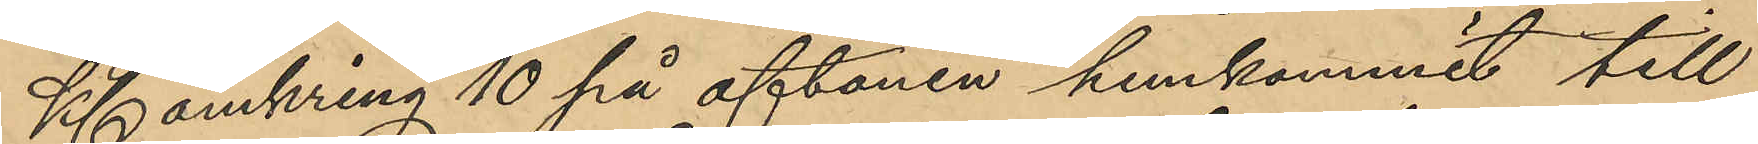Kl. omkring 10 på aftonen hemkommit till
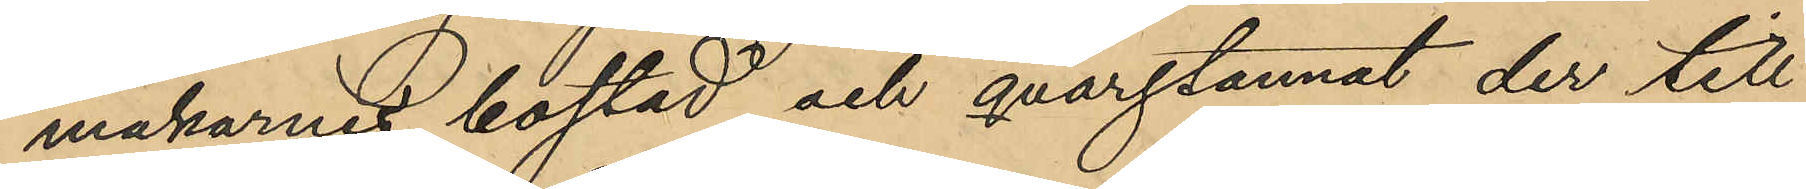makarnes bostad och qvarstannat der till
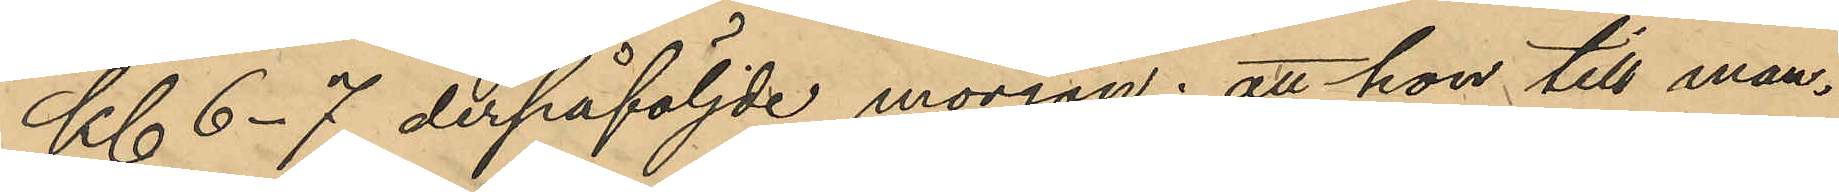Kl. 6-7 derpåföljde morgon; att hon till man¬
